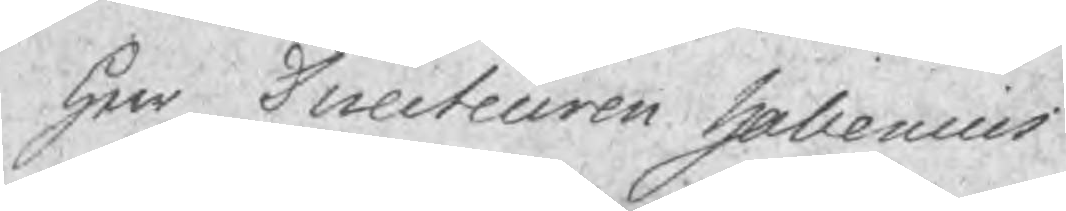Herr Directeuren Halenius
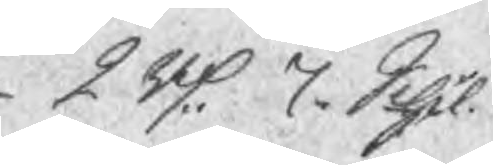2 Rd 7 Schl.
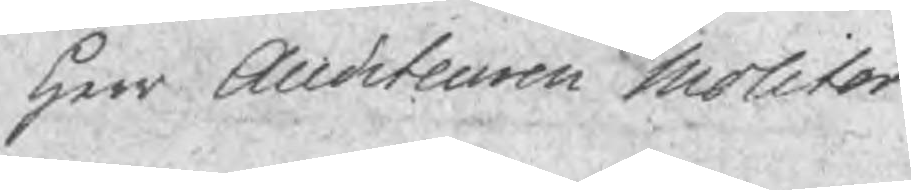Herr Auditeuren Molitor
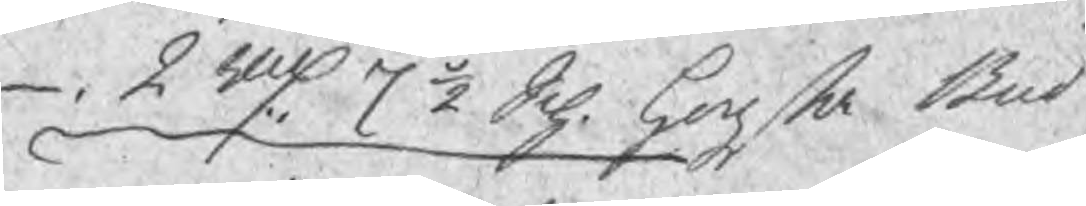2 Rd 7 ½ Sch. hogsta Bud
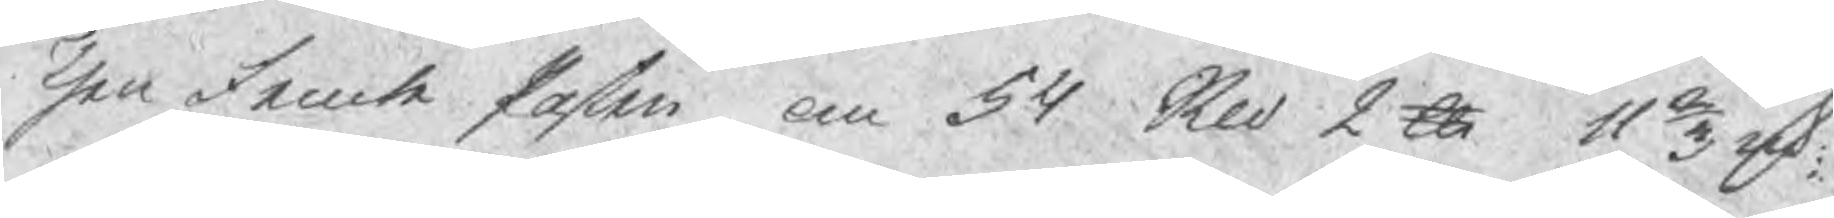Then Femte posten om 54 Sked 2 ℔ 11 2/3 rst
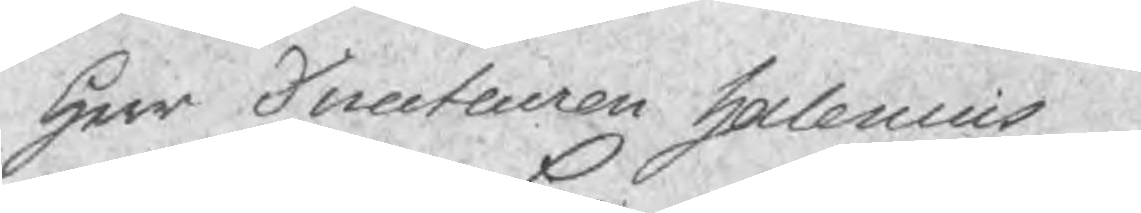Herr Directeuren Halenius
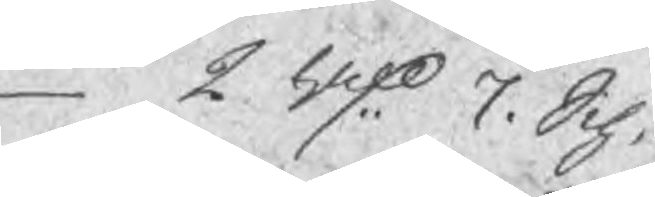2 Rd 7 Sch.
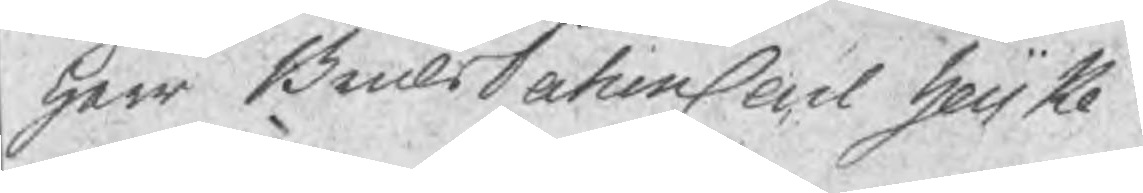Herr BruksPatron Carl Heijke
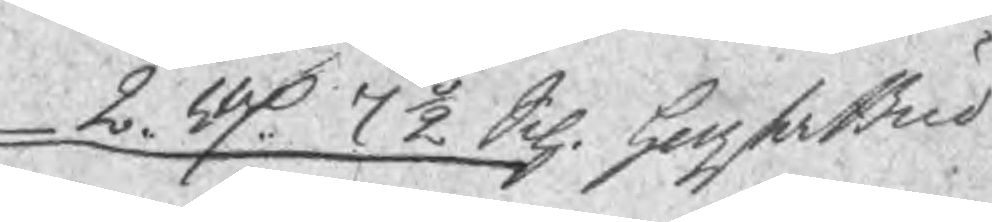2. Rd 7 ½ Sch. hogsta Bud
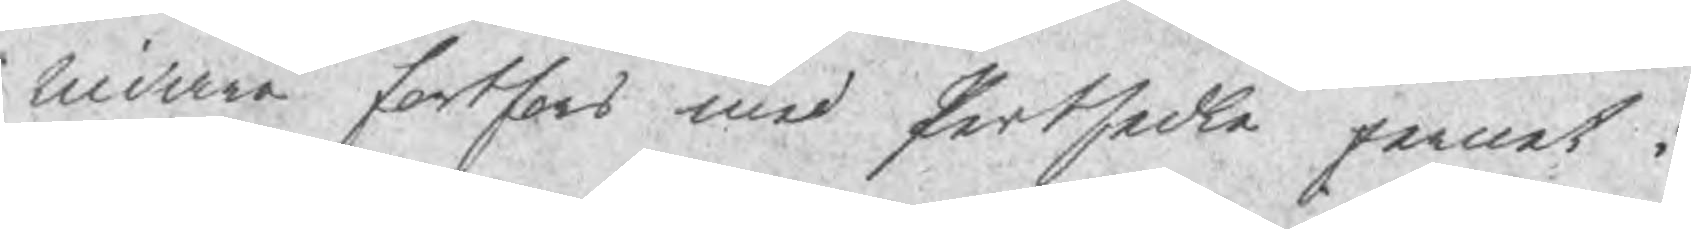Vidare fortfors med Pertsedle jernet i
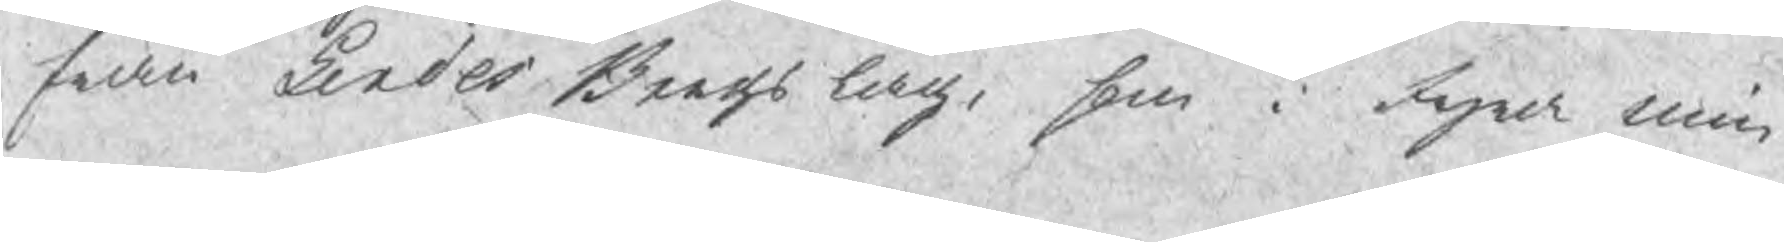fran Lindes Bergs lag, som i fyra min¬
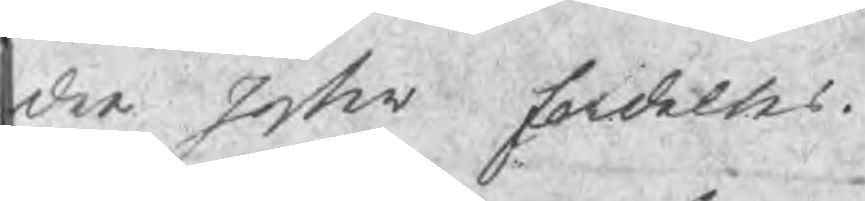dre poster fordeltes.
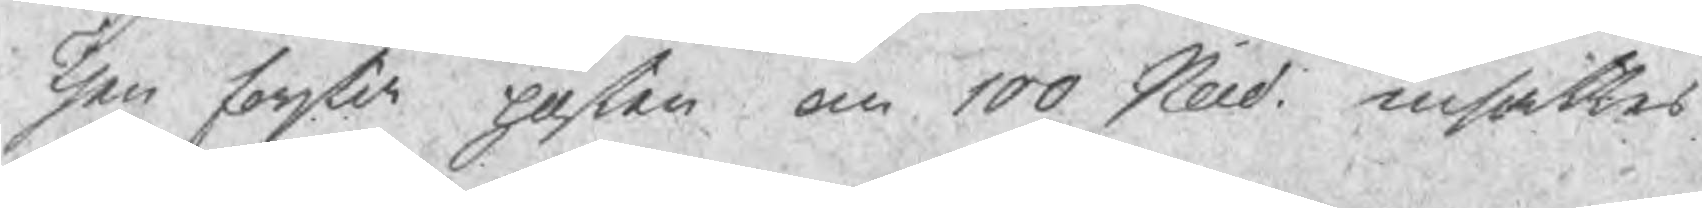Then forstie posten om 100 Seid ansaättes
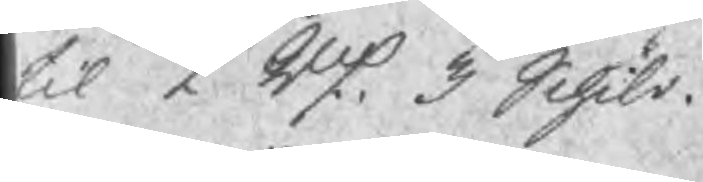til 2 Rd 3 Schil.
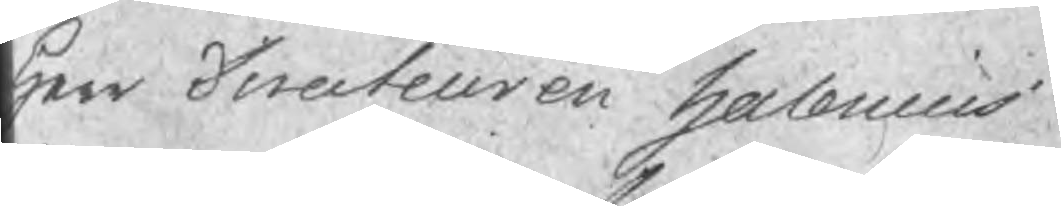Herr Directeuren Halenius
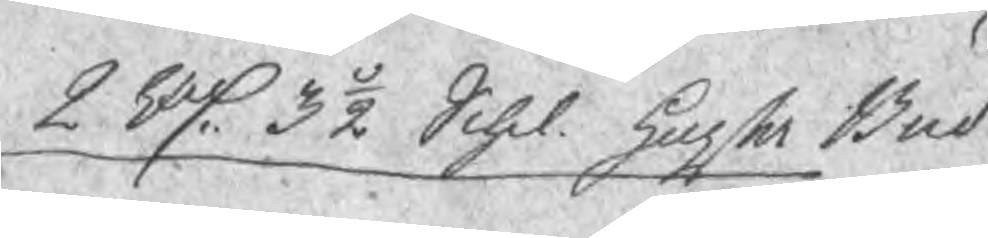2 Rd 3 ½ Schl. hogsta Bud
